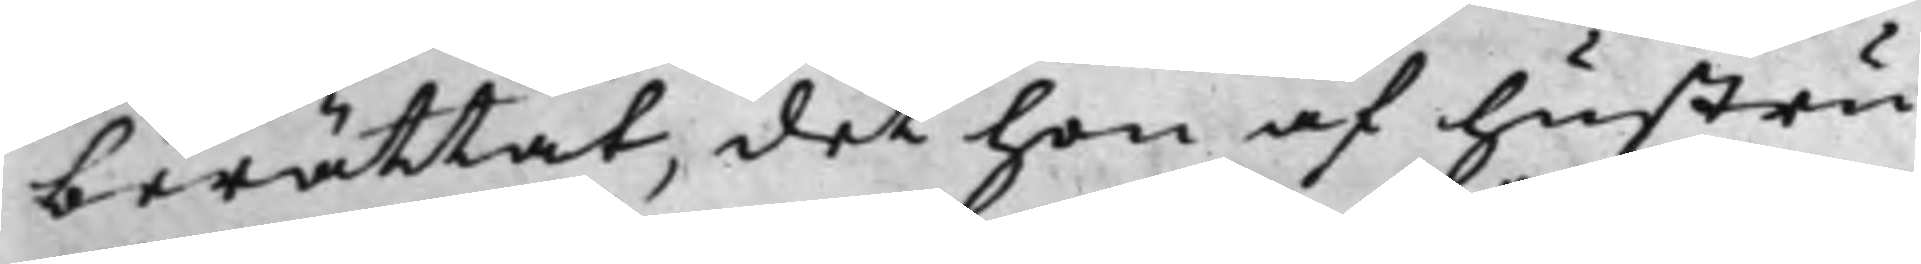berättat, det hon af hustru
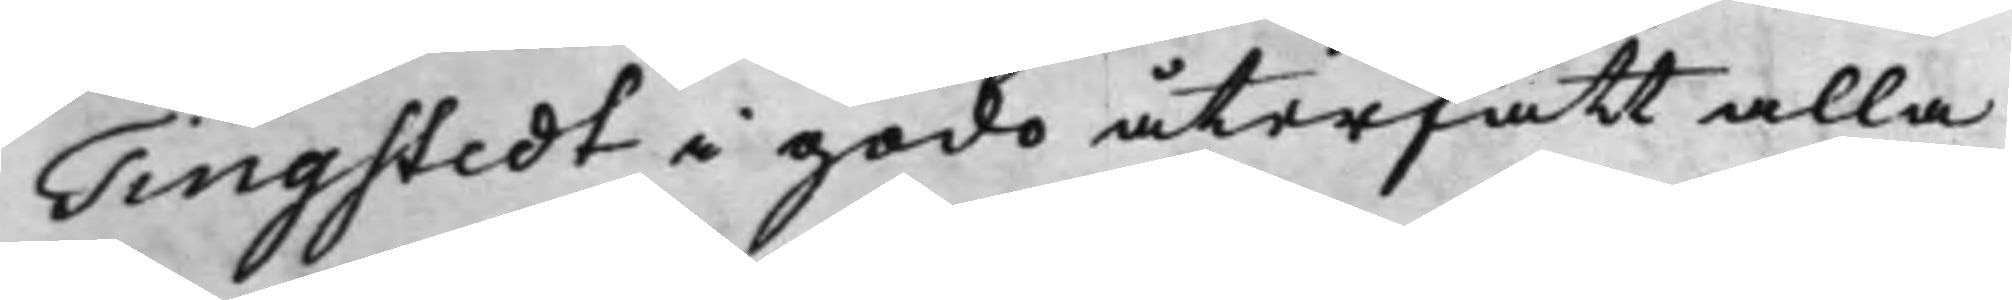Tingstedt i godo återfått alla
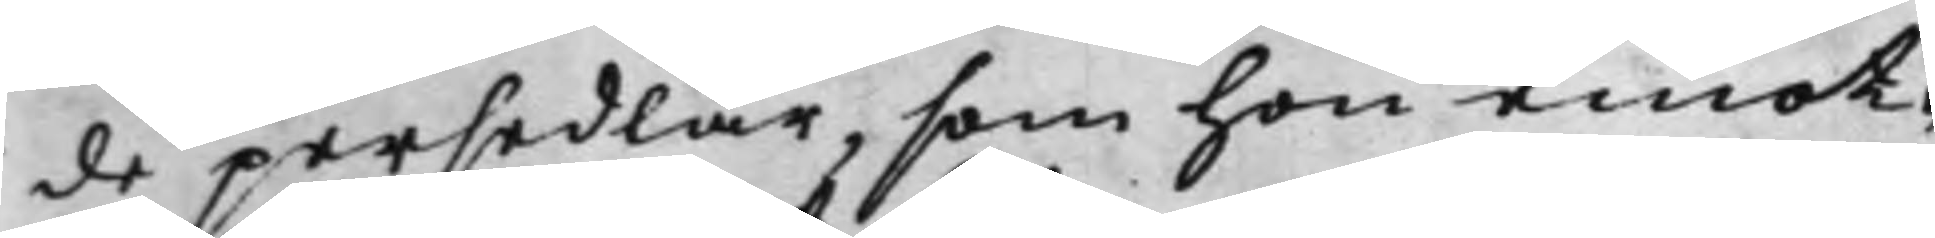de persedlar, som hon emot¬
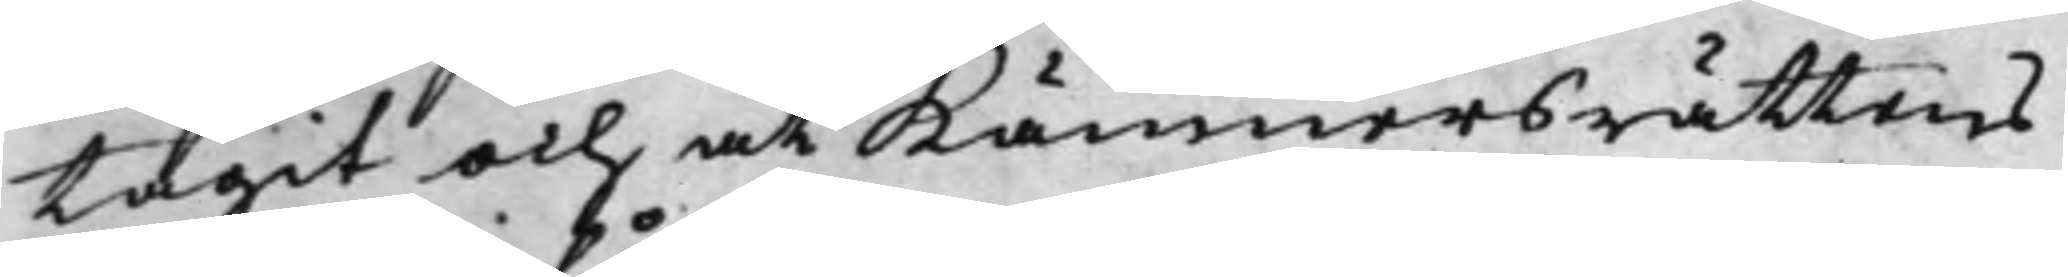tagit och at Kämnersrättens
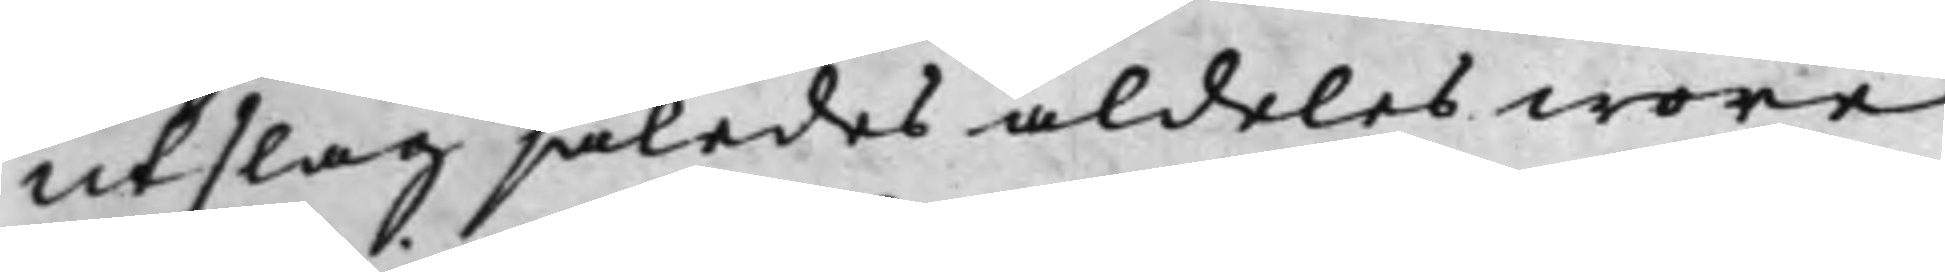Utslag således aldeles wore
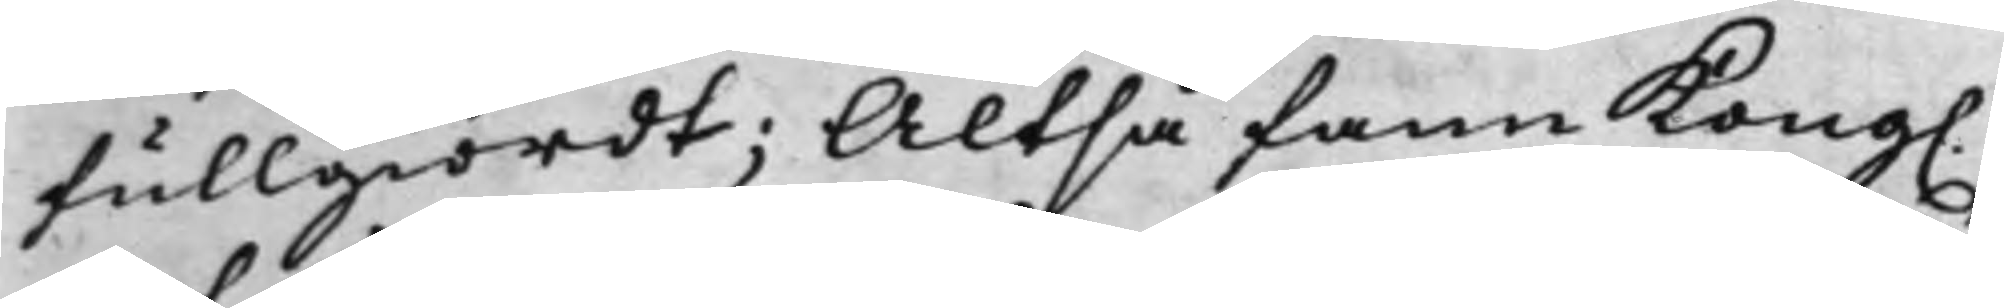fullgiordt; Altså fann Kong.
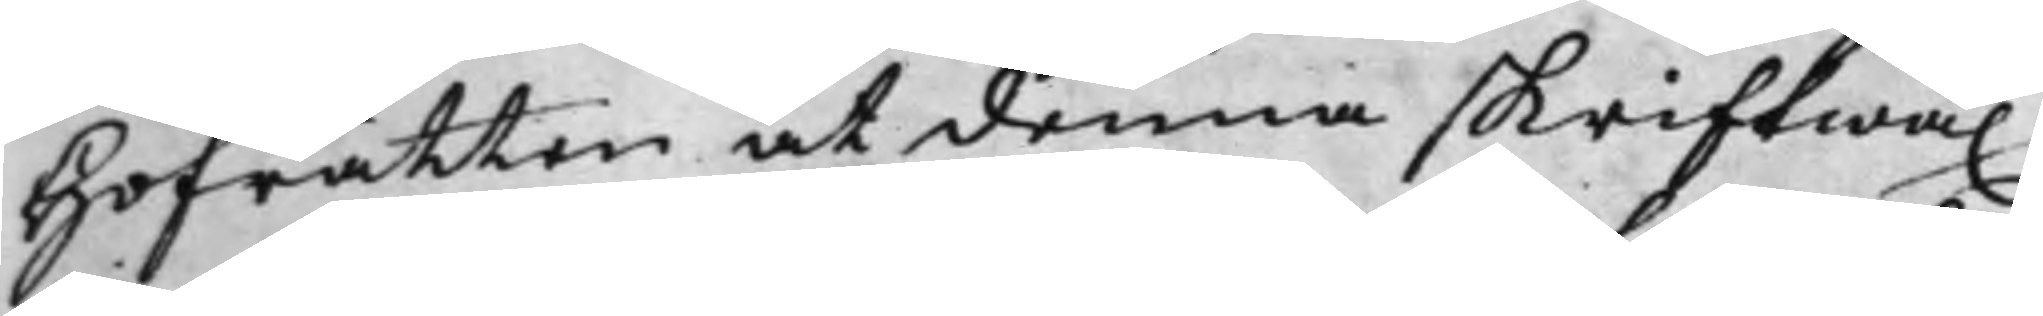Hofrätten at denna skriftwäx¬
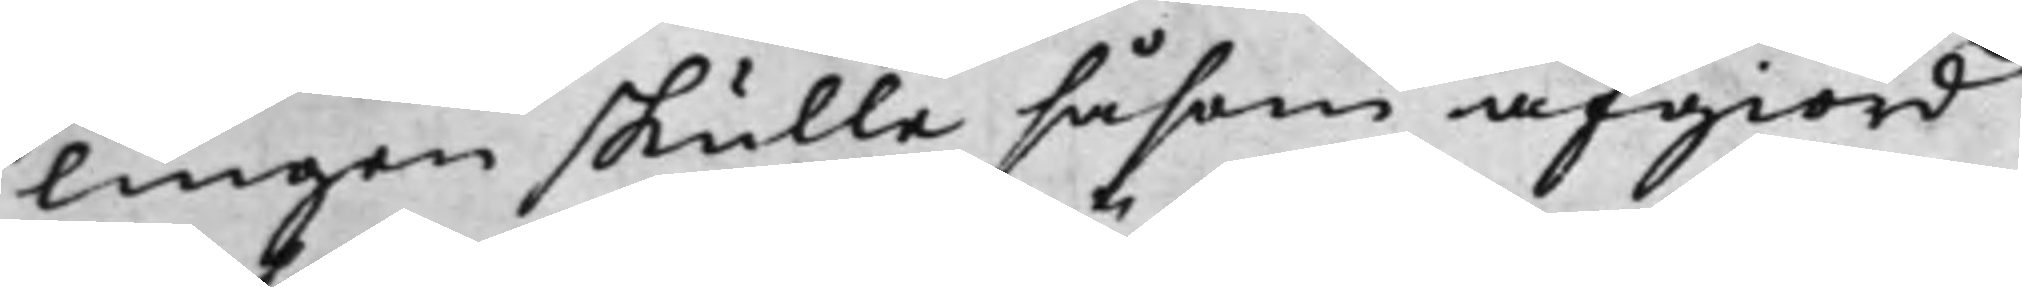lingen skulle såsom afgiord
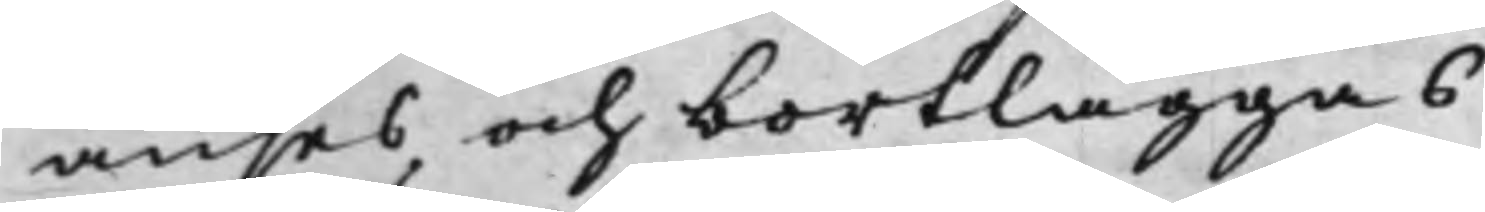anses och bortläggas.
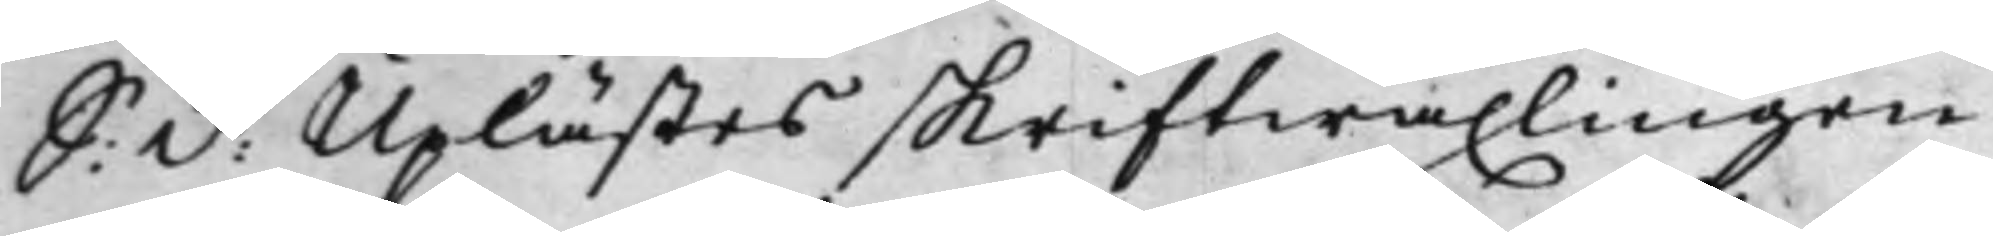S: d: Uplästes skriftwäxlingen
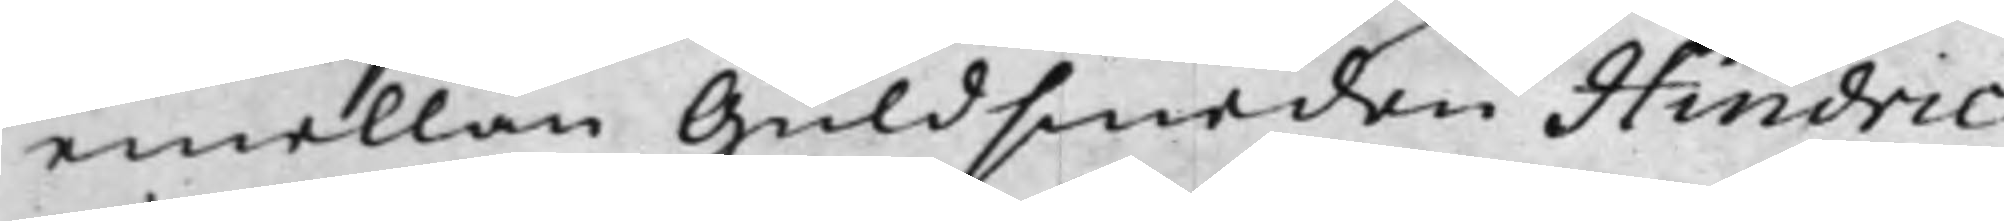emellan Guldsmeden Hindric
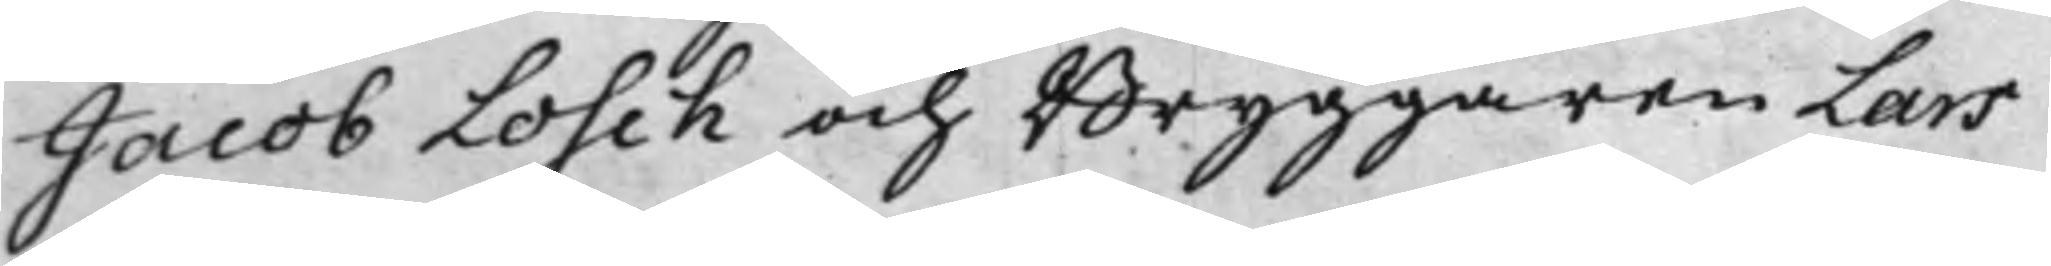Jacob Losch och Bryggaren Lars
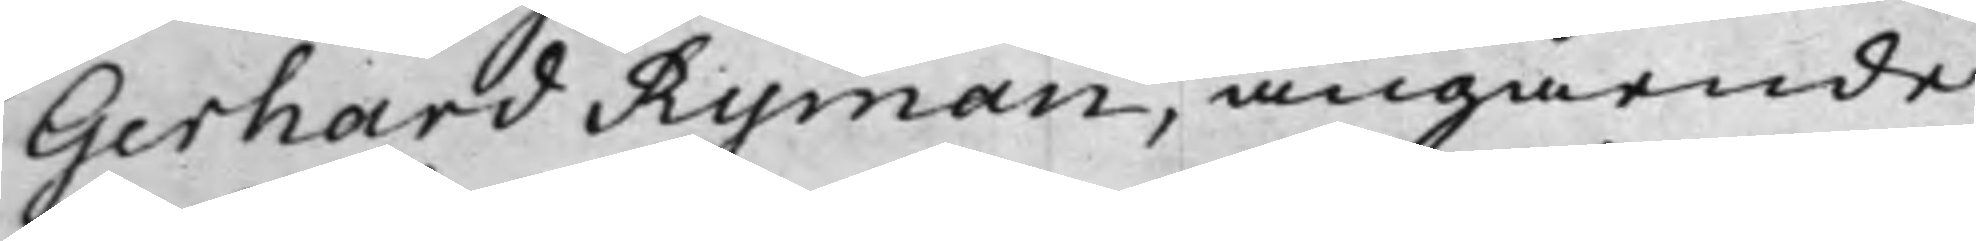Gerhard Ryman, angående
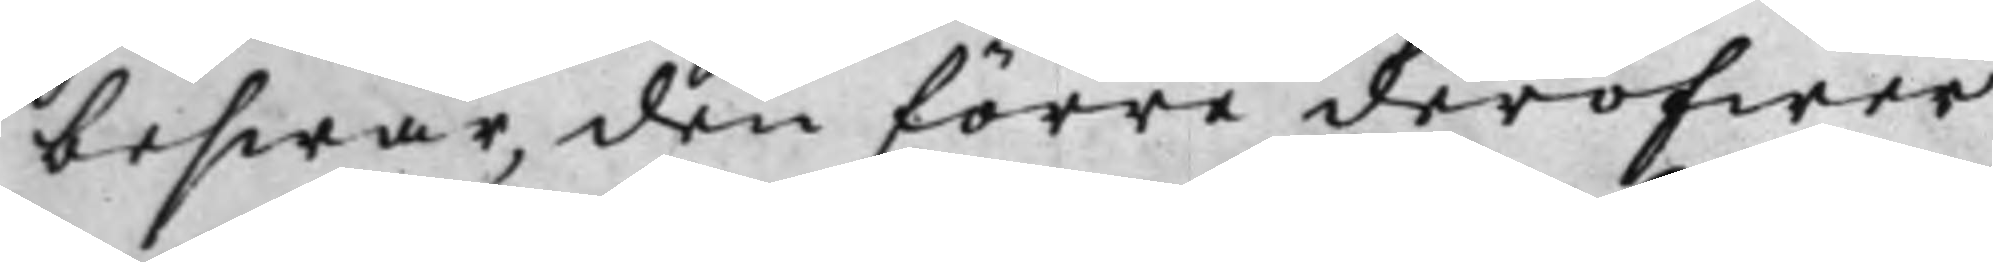beswär, den förre deröfwer
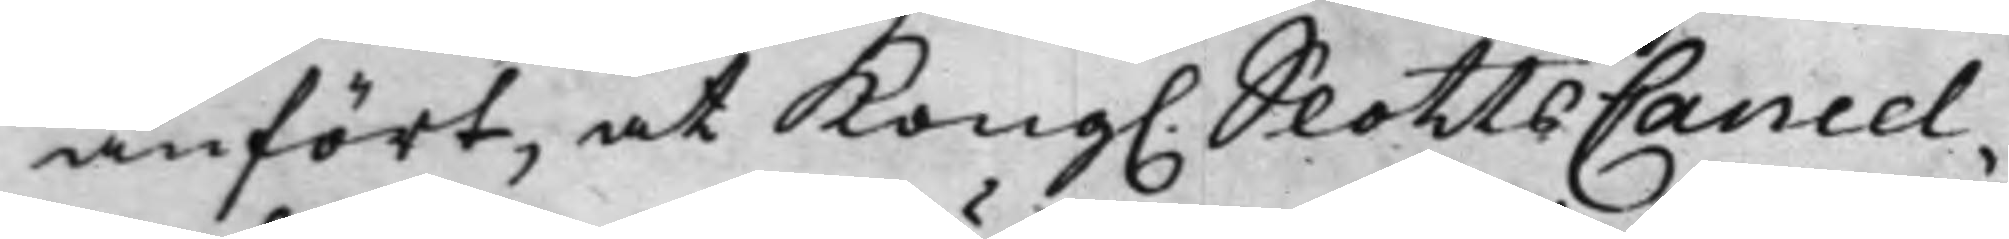anfört, at Kong. SKottsCancel¬
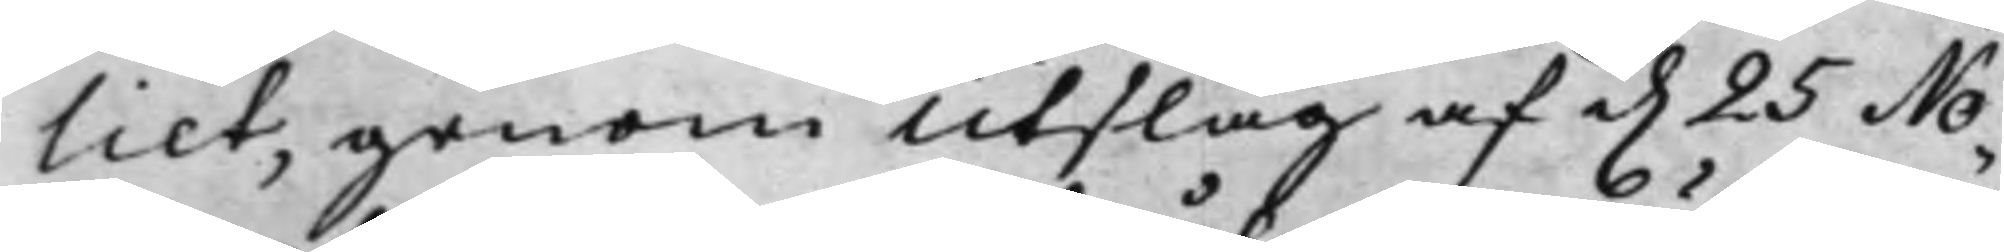liet, genom Utslag af d. 25 No¬
